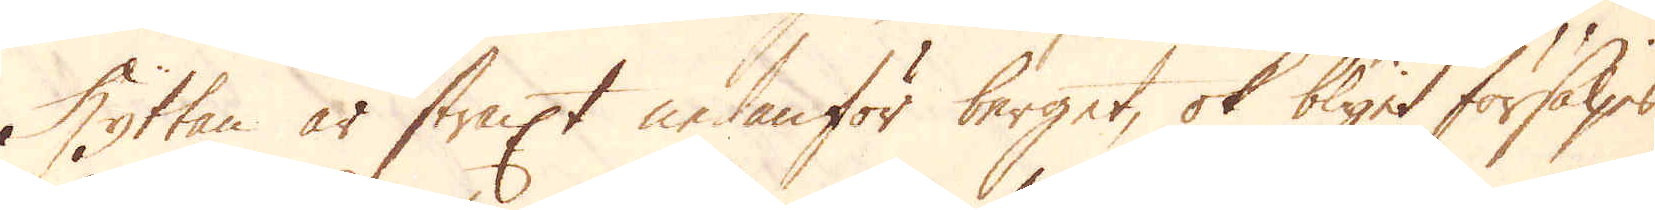Hyttan är straxt nedanför berget, ok blyet försäljes
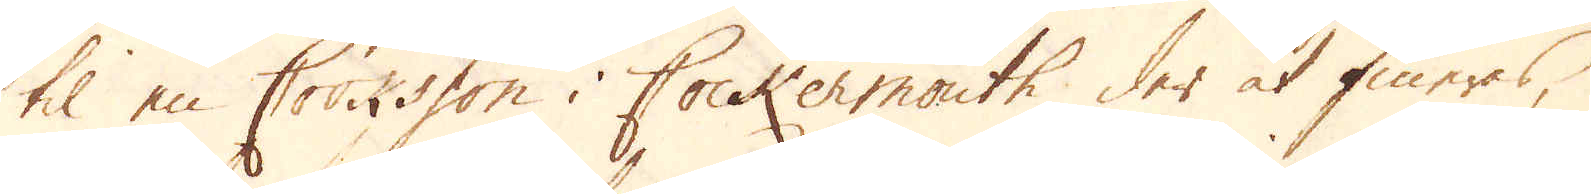til en Cooksson i Cockermouth der at fineras,
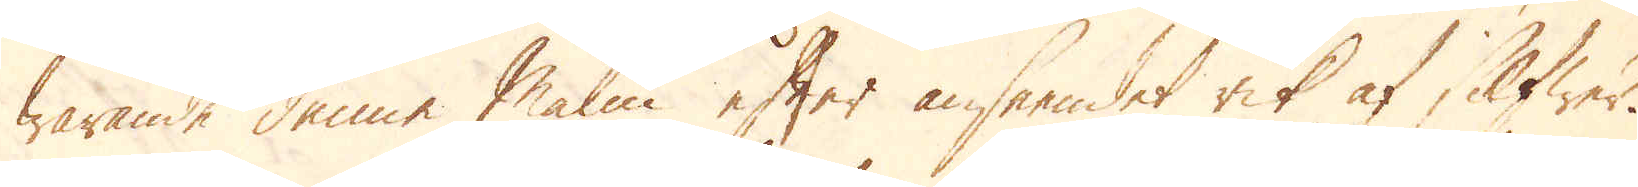warande denne Malm efter anseendet rik af Silfwer.
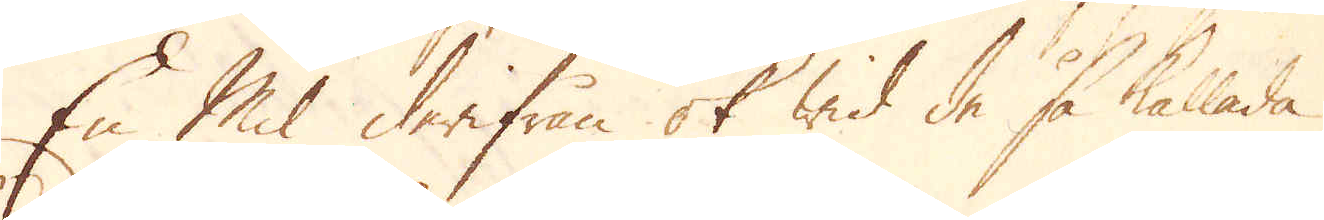En Mil derifrån ok wid de så kallade 
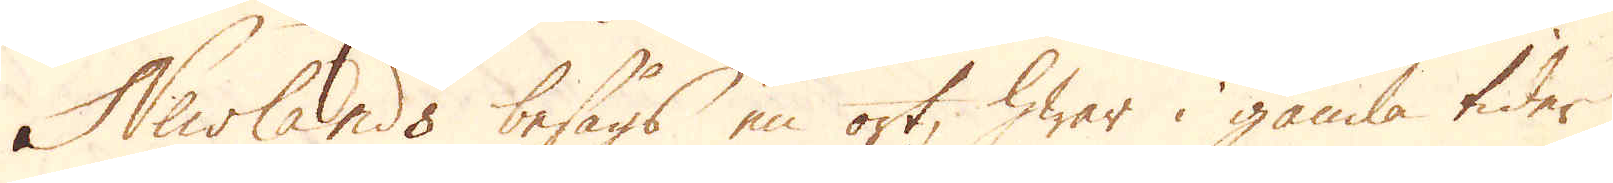Newlands besågs en ort, hwar i gamla tider
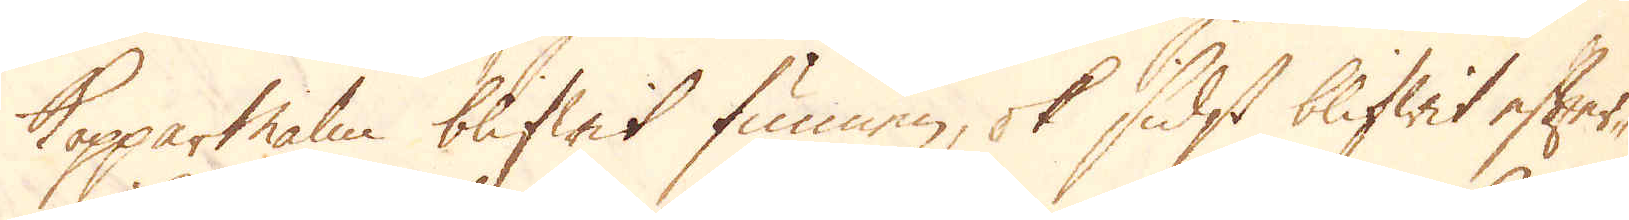Kopparmalm blifwit funnen, ok sidst blifwit efter-
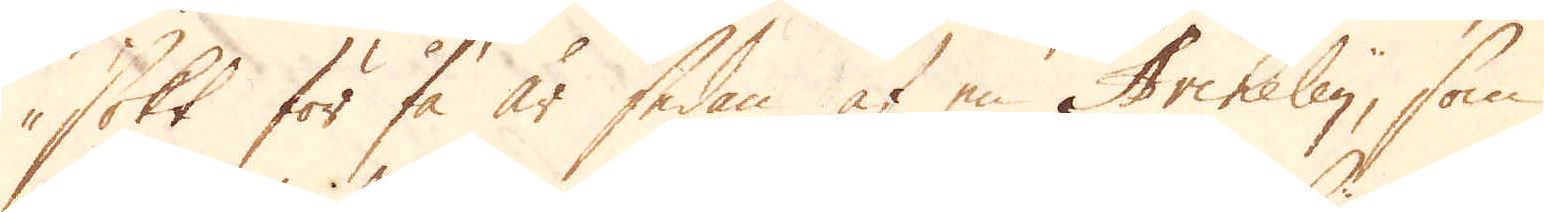sökt för få år sedan af en Archeley, som
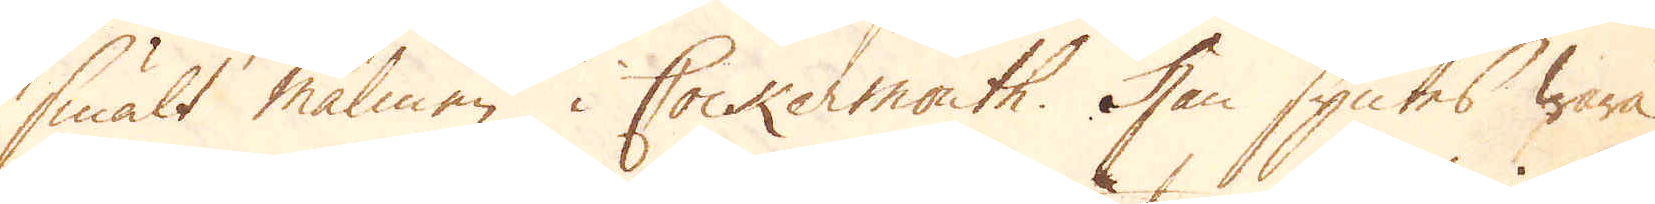smält malmen i Cockermouth. Han syntes wara
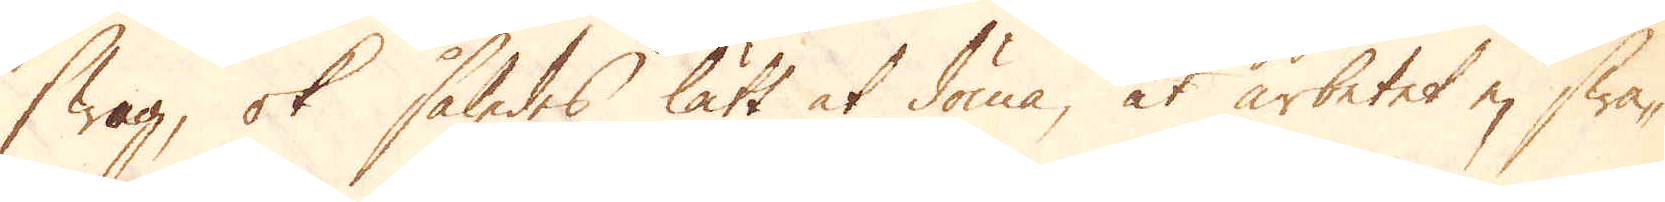swag, ok således lätt at döma, at arbetet ej swa-
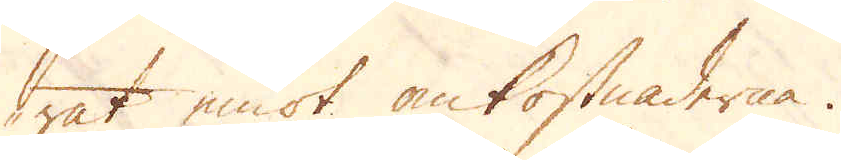rat emot omkostnaderna.
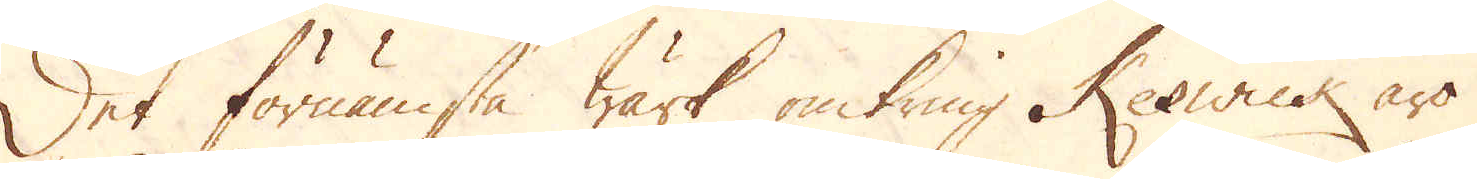Det förnämsta wärk omkring Keswick äro
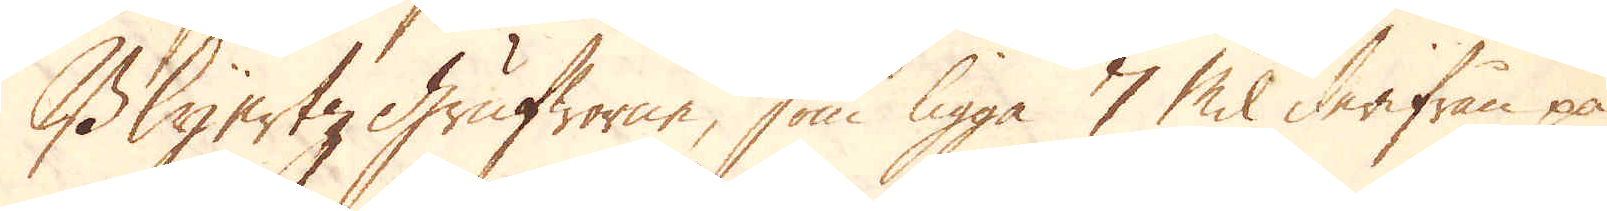Blyertz Grufworne, som ligga 7 Mil derifrån på
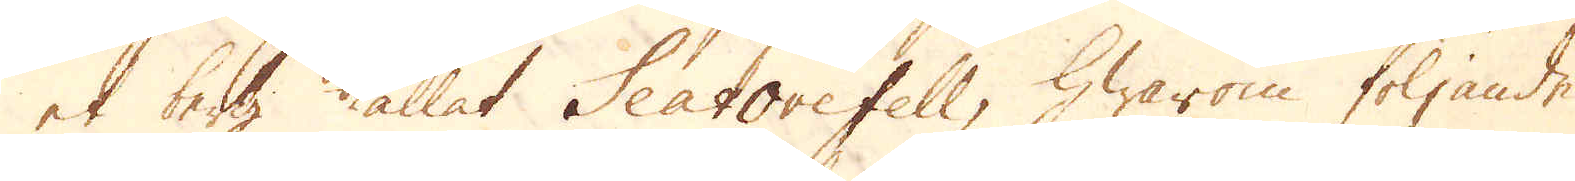et berg kallat Seat ore fell, Hwarom följande
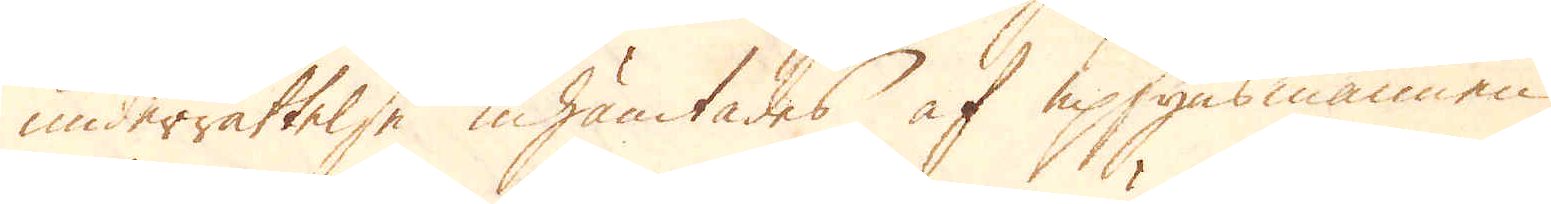underrättelse inhämtades af upsynsmannen
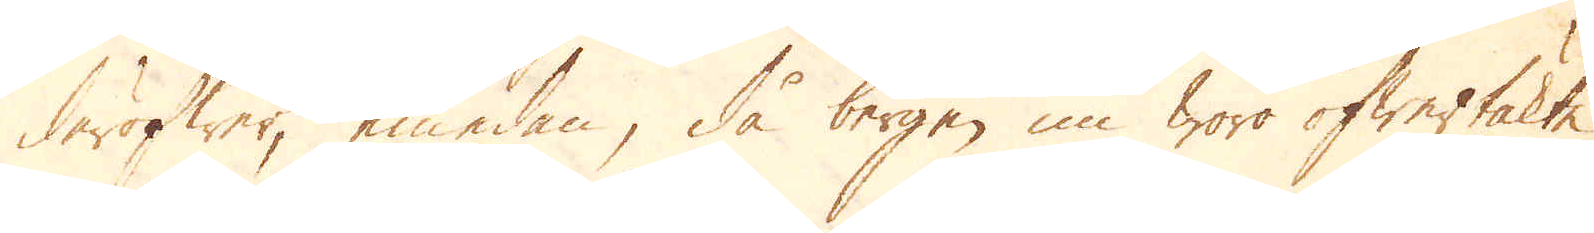deröfwer, emedan, då bergen nu woro öfwertäkte
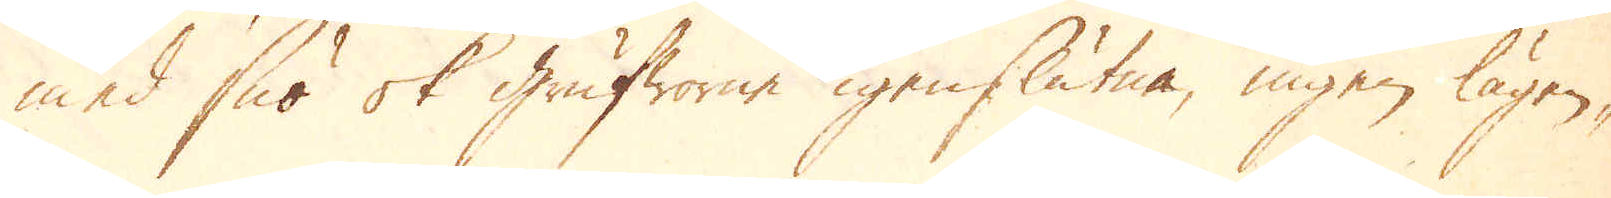med snö ok grufworne igenslutne, ingen lägen-
